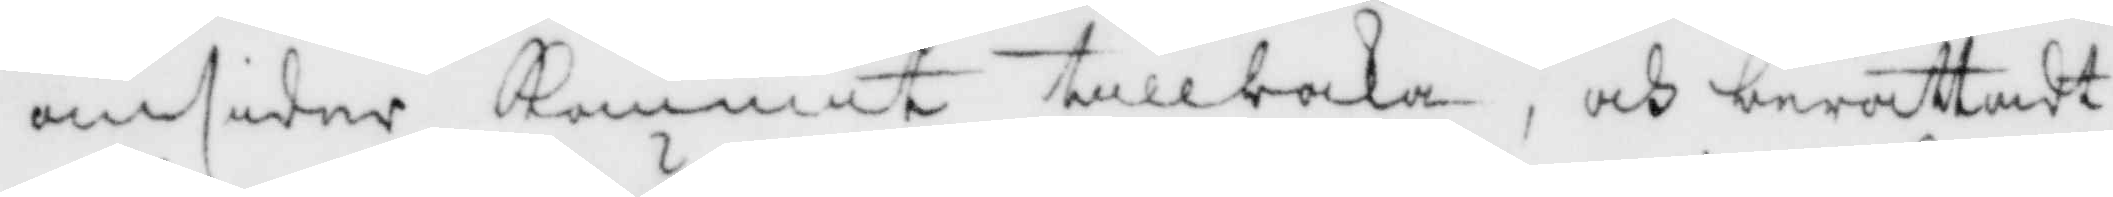omsider Kommit tillbaka, och berättadt
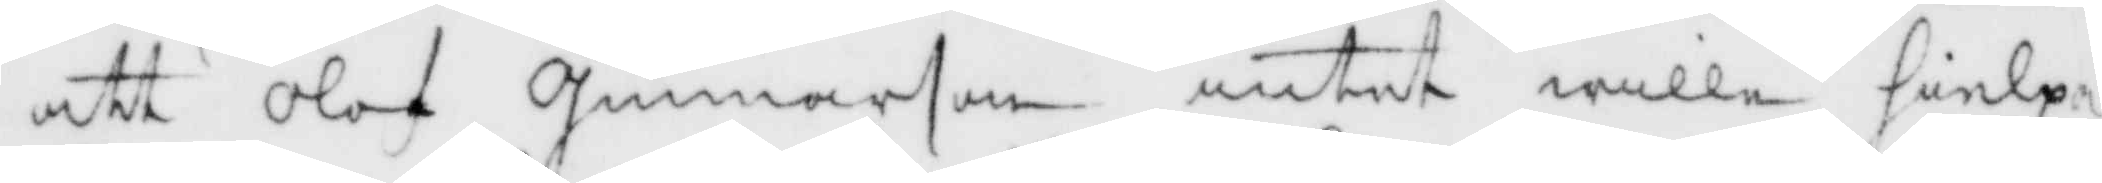att Olof Gunnarson intet wille hielpa
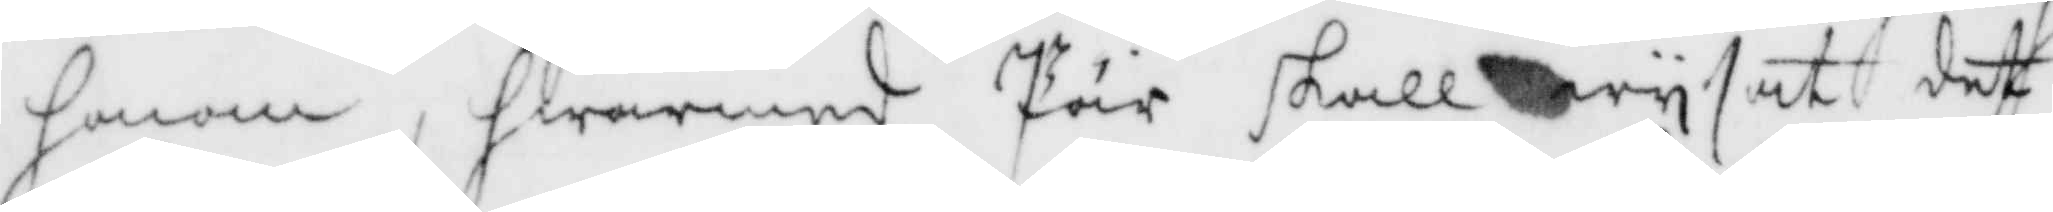honom, hwarmed Pär skall wysat det
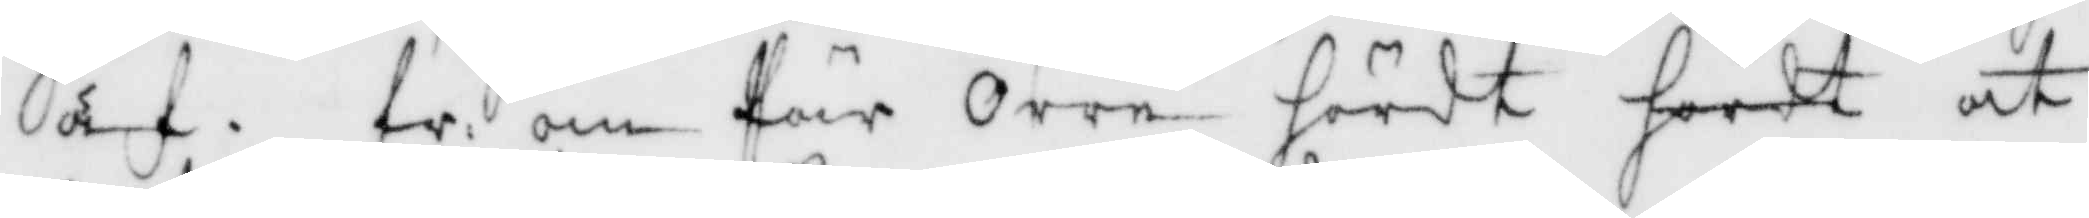af. fr: om Pär Orre hördt heelt at
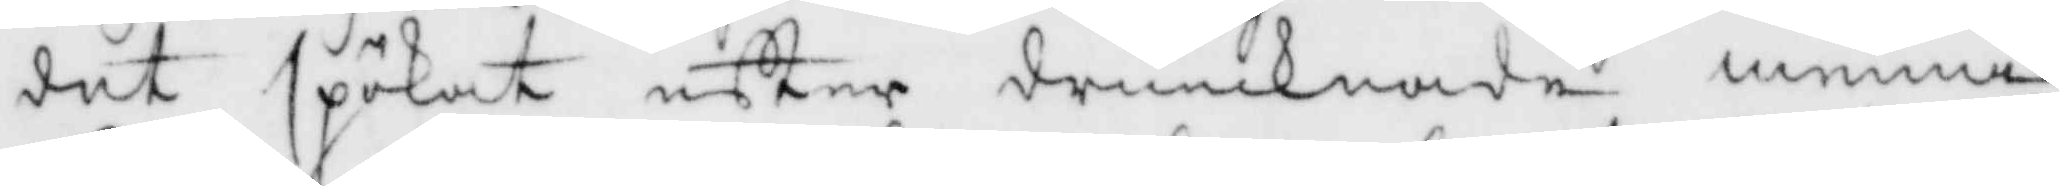det spökat efter drunknade menni¬
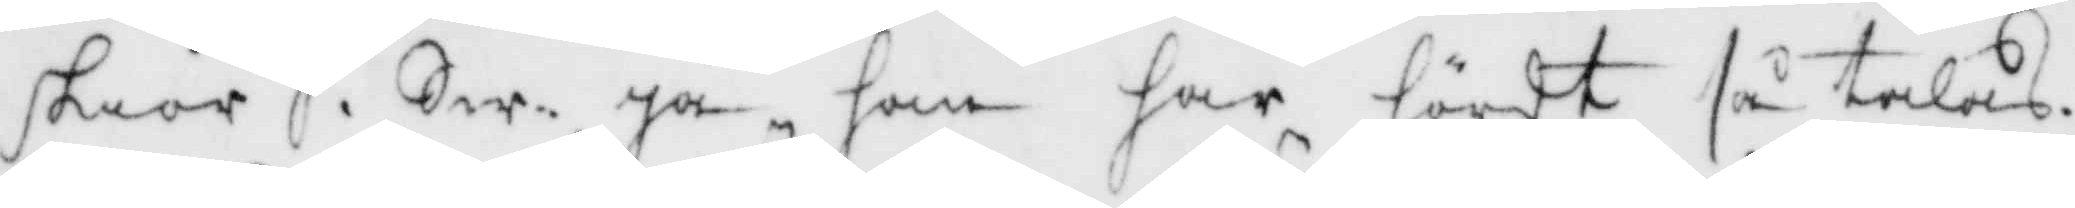skior, Sw: Ja, han har hördt så talas.
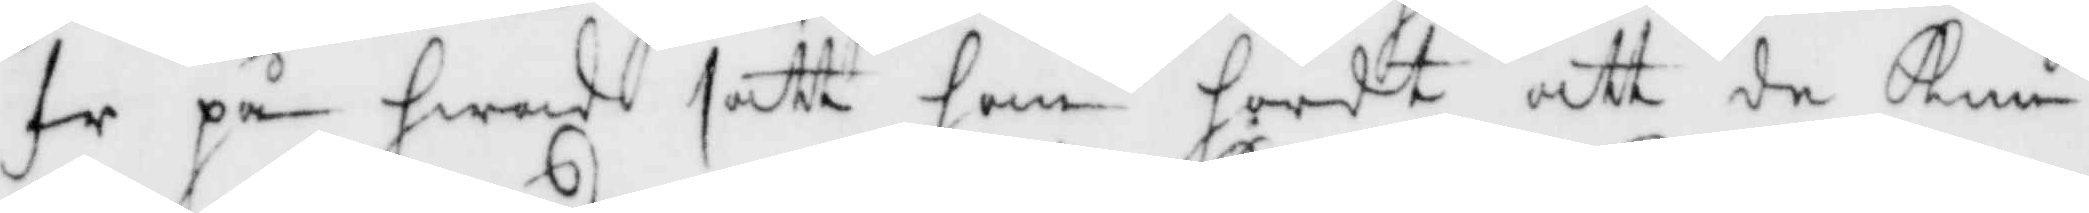fr på hwad sätt han hördt att de kun¬
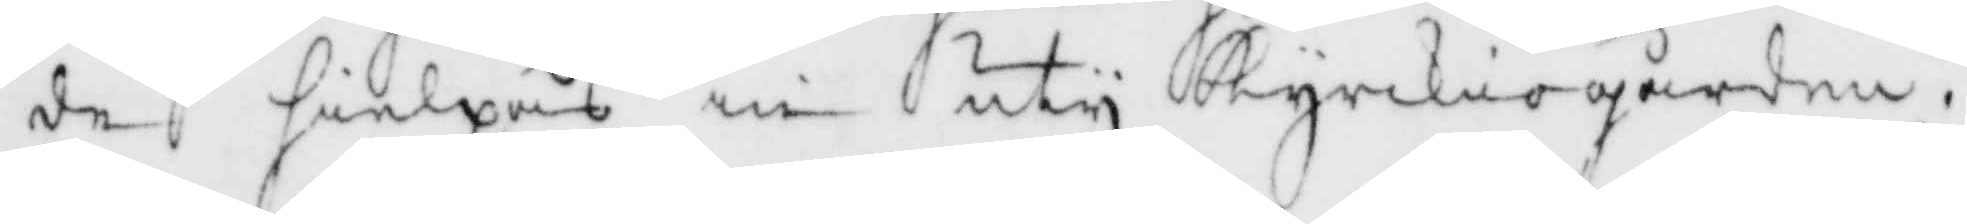de hielpas in uty Kyrckiogården.
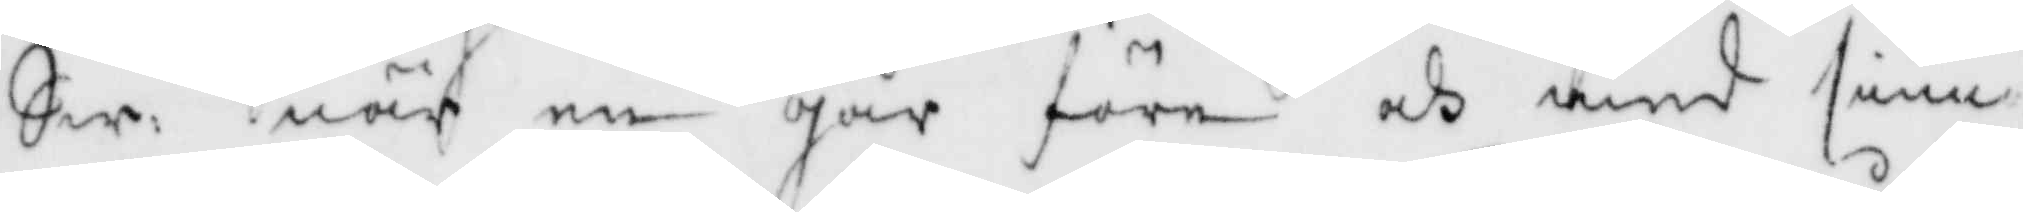Sw: när en går före och med siun¬
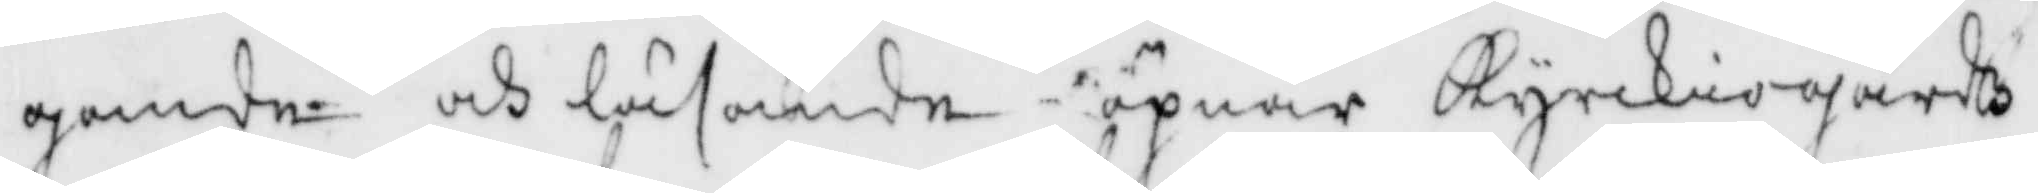gande och läsande öpnar Kyrckiogårdz¬
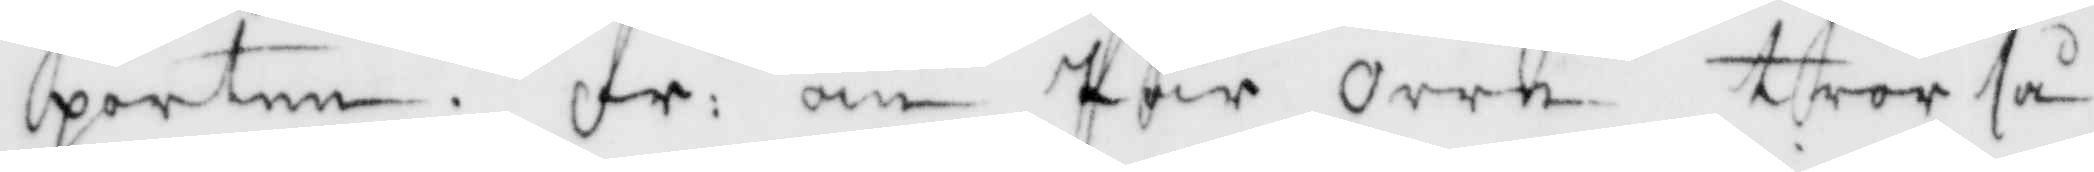porten. fr: om Pär Orre tror så¬
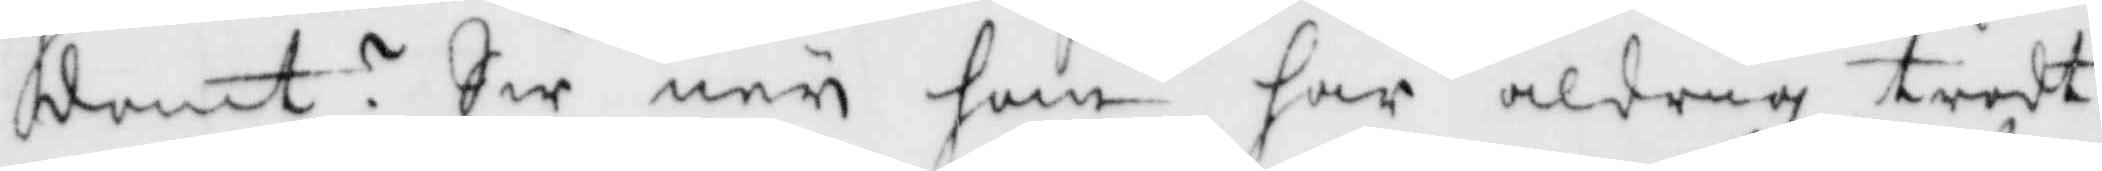dant? Sw ner han har aldrig trodt
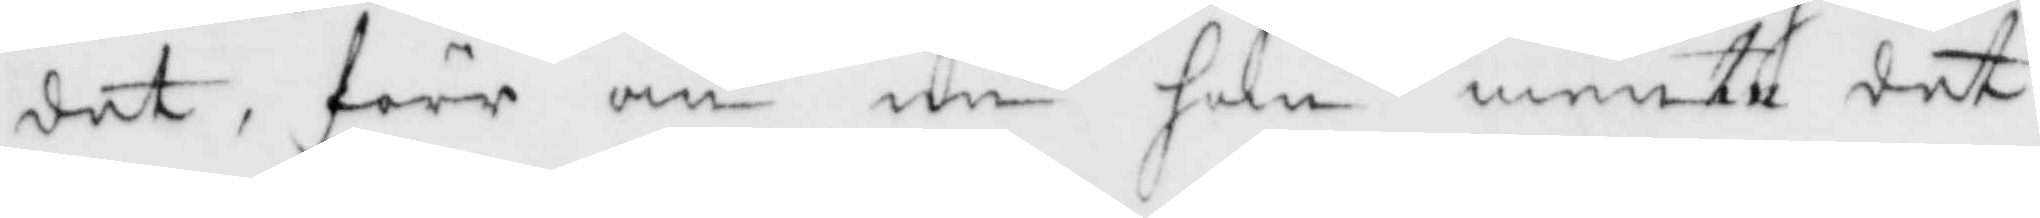det, förr än nu han mente det
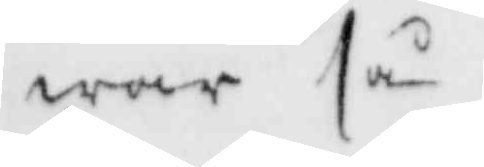war så.
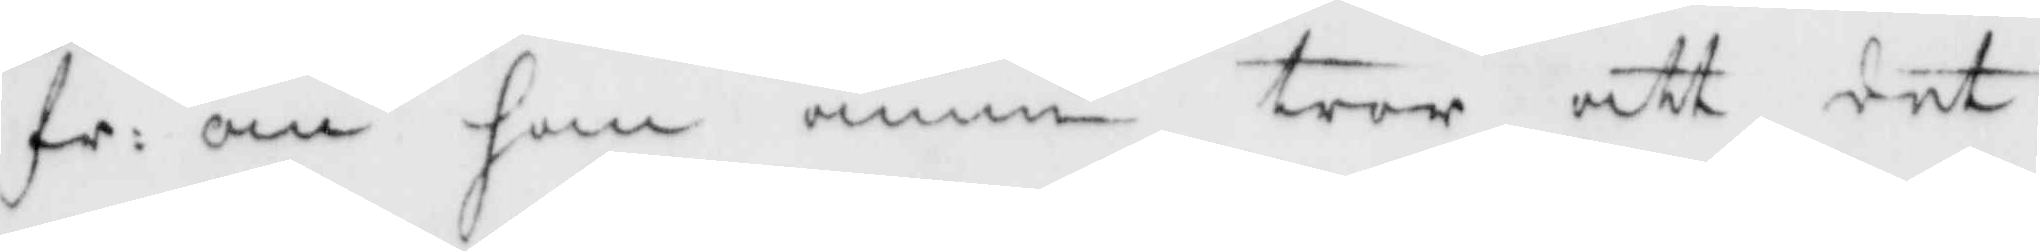fr: om han ännu tror att det
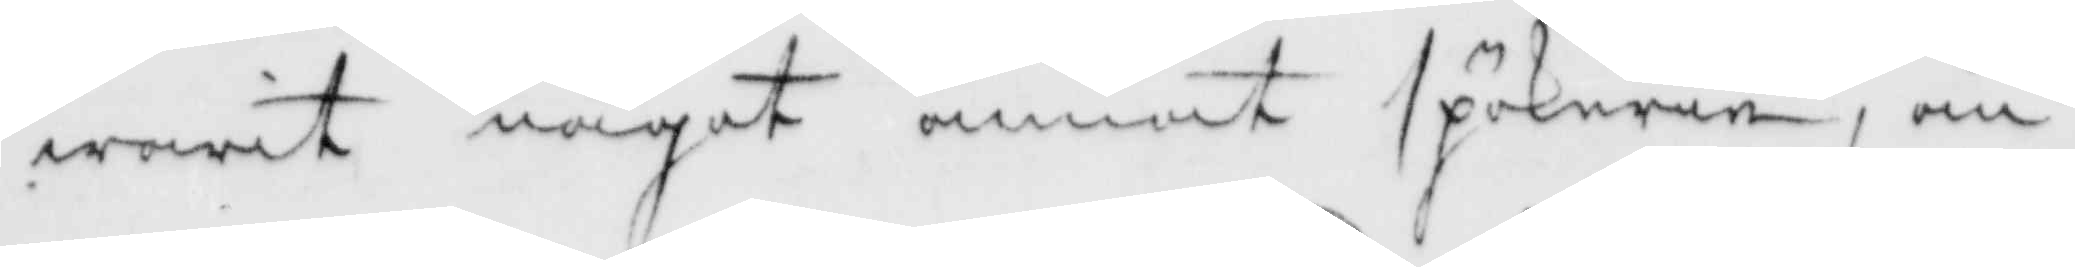warit något annat spökeri, än 
